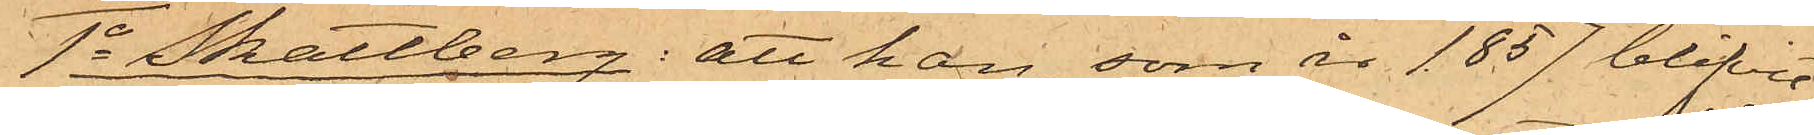1o Skattberg: att han, som år 1857 blifvit
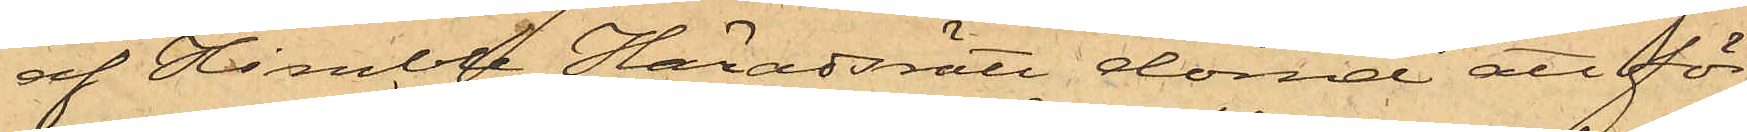af Himble Häradsrätt dömd att för
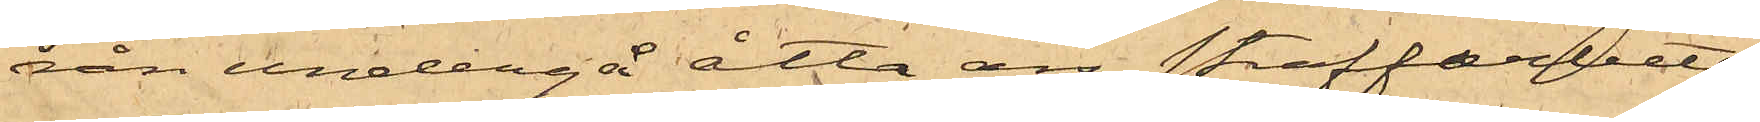rån undergå åtta års straffarbete,
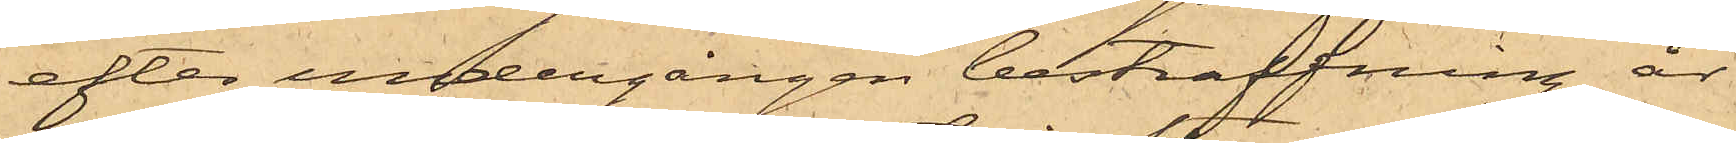efter undergången bestraffning år
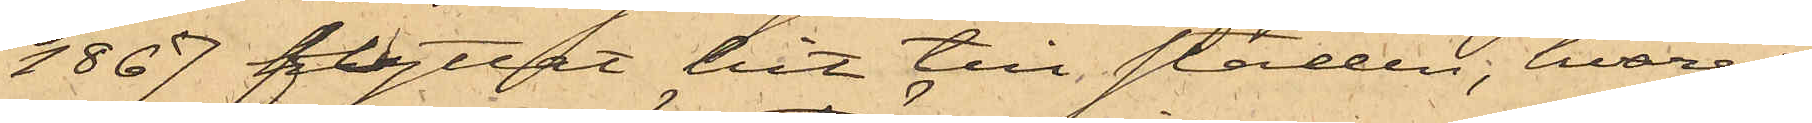1867 flyttat hit till staden; hvarest
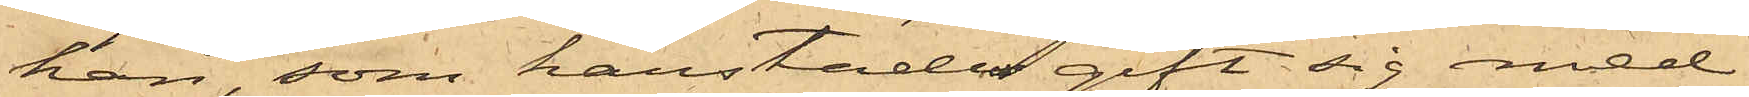han, som härstädes gift sig med
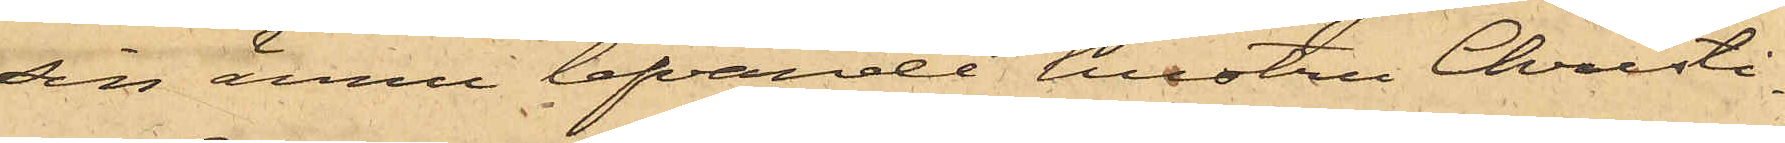sin ännu lefvande hustru Christi¬
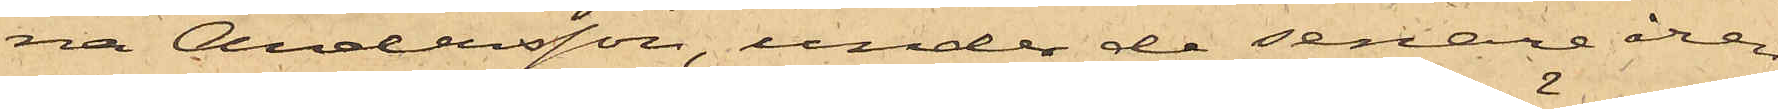na Andersson, under de senare åren
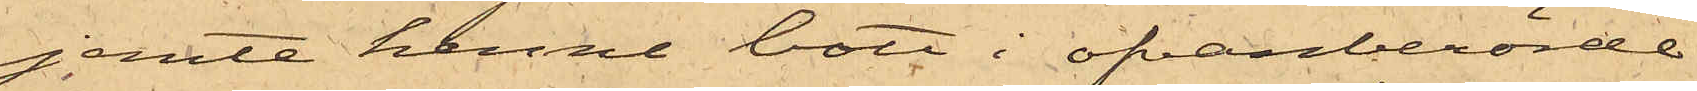jemte henne bott i ofvanberörde
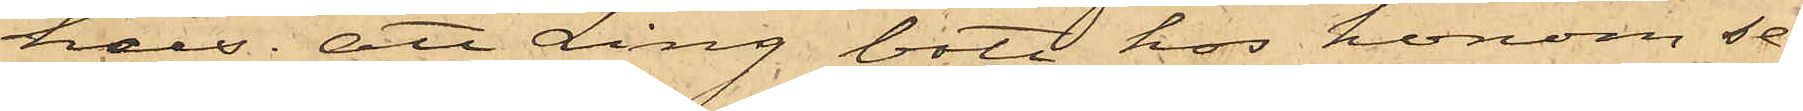hus; att Ling bott hos honom se¬
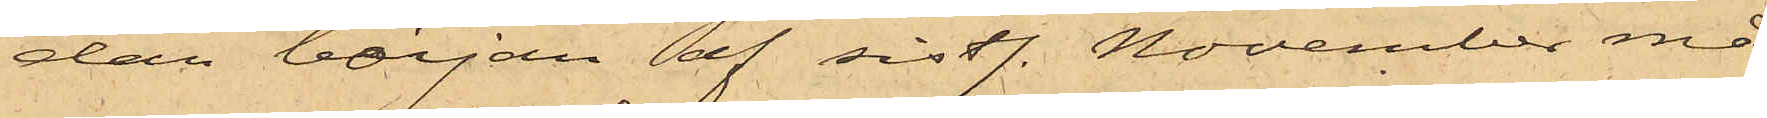dan början af sistl. November må¬
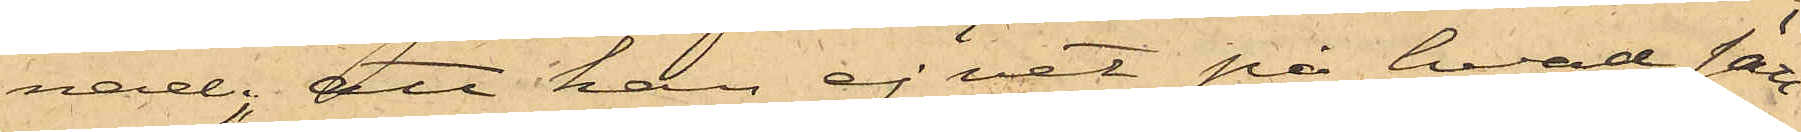nad; att han ej vet på hvad sätt
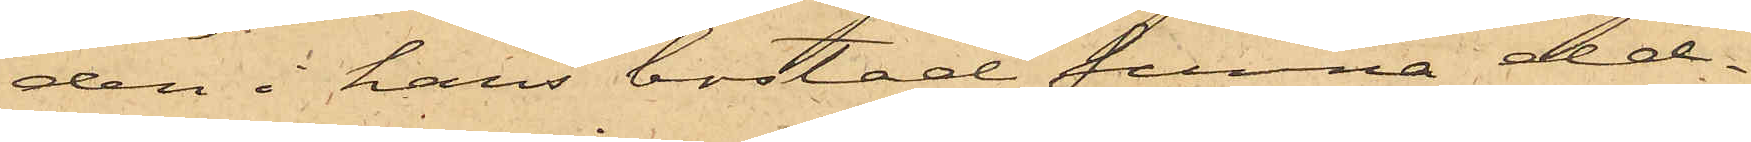den i hans bostad funna eld¬
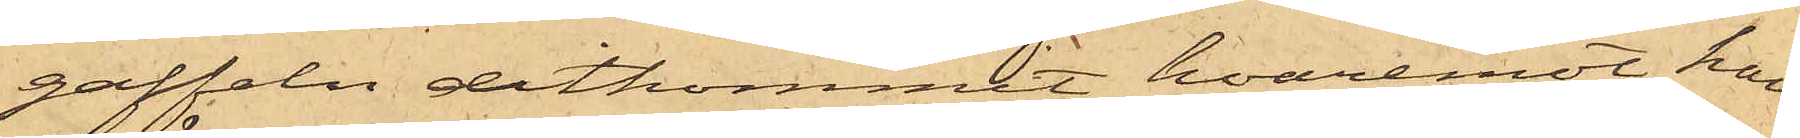gaffeln ditkommit, hvaremot han
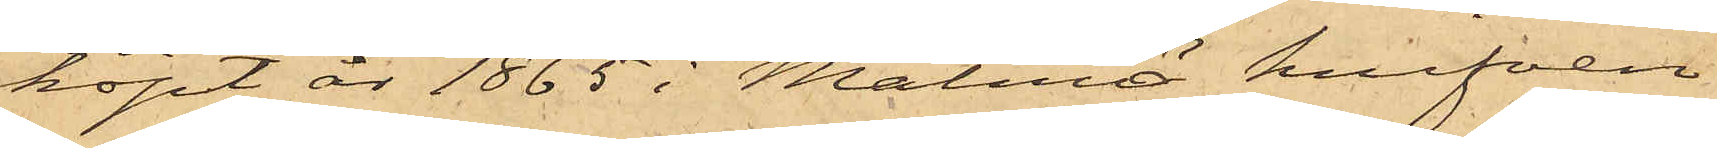köpt år 1865 i Malmö knifven
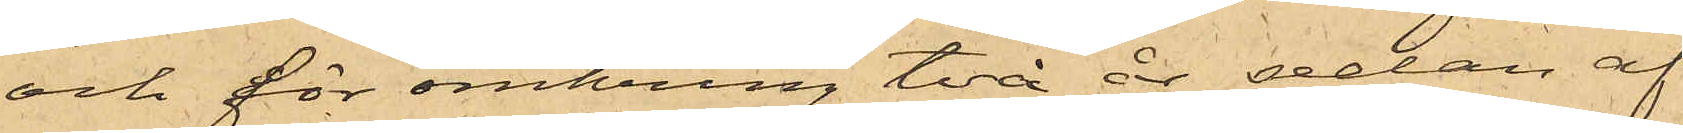och för omkring två år sedan af
